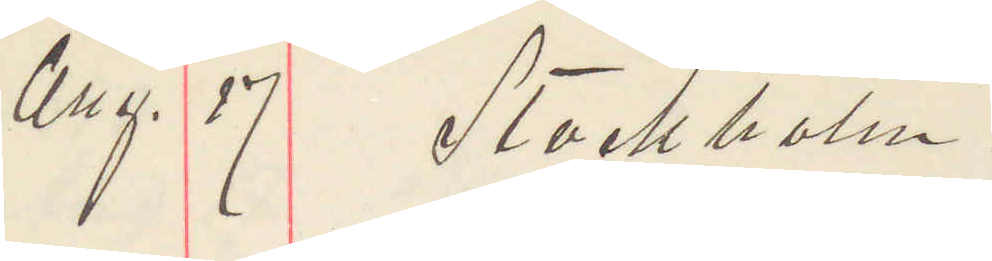Aug. 17 Stockholm.
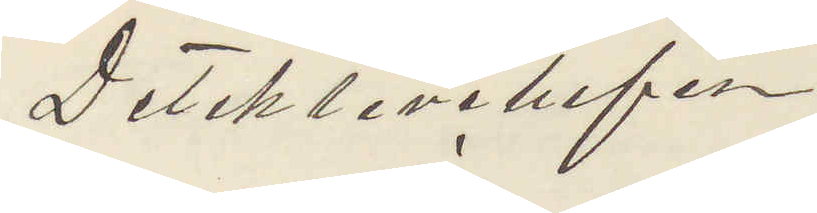Detektivchefen
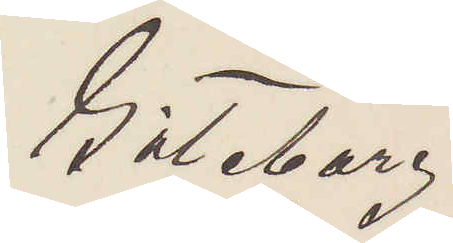Göteborg.
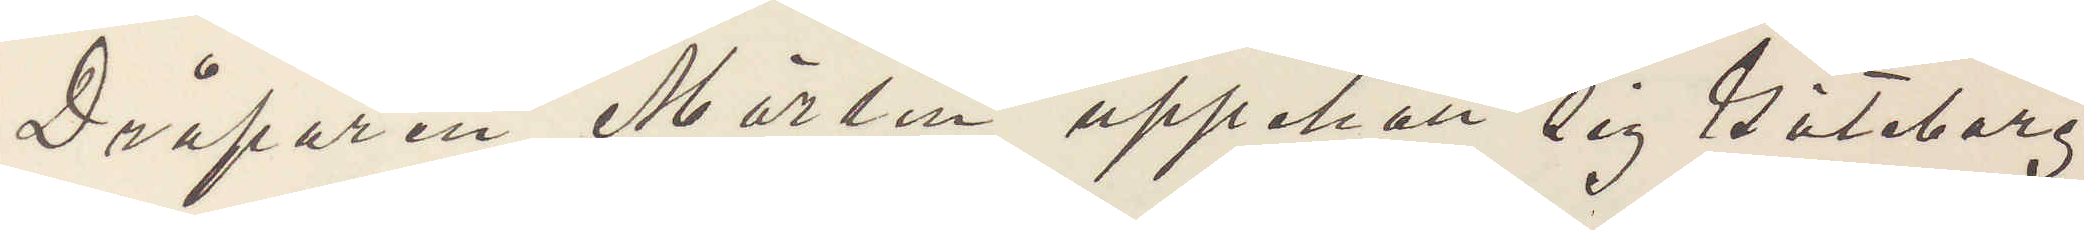Dråparen Mörlin uppehöll sig Göteborg
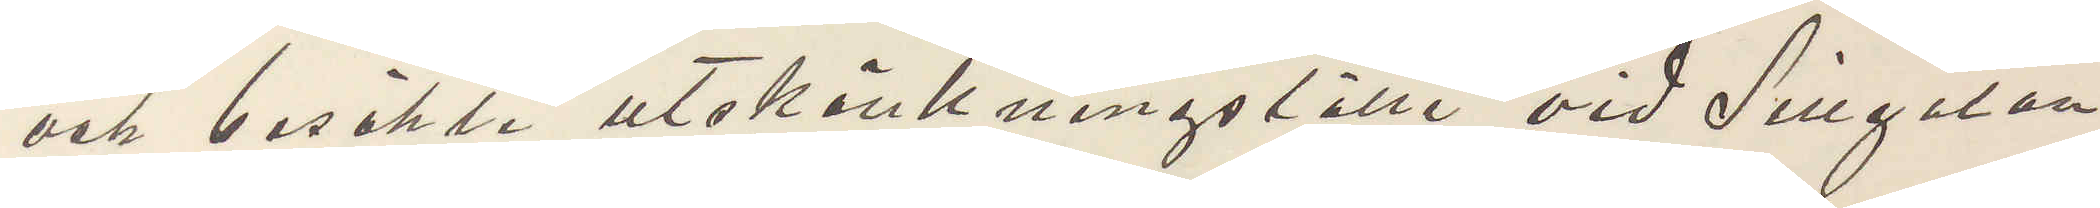och besökte utskänkningsställe vid Sillgatan
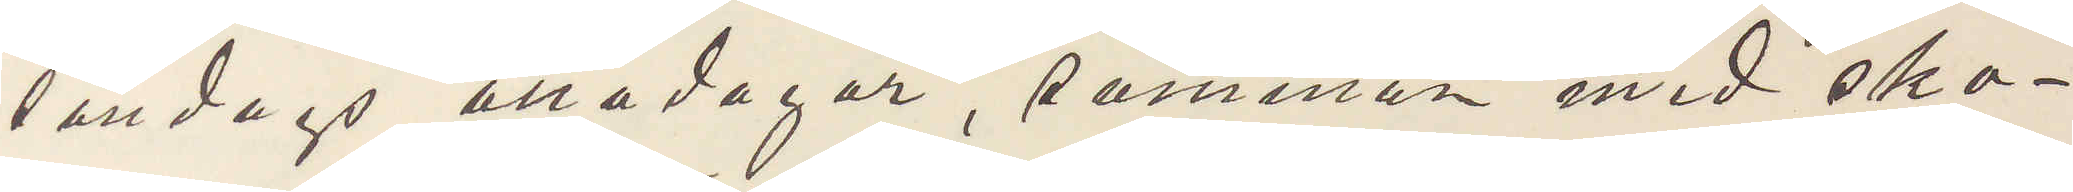söndags åtta dagar, samman med sko¬
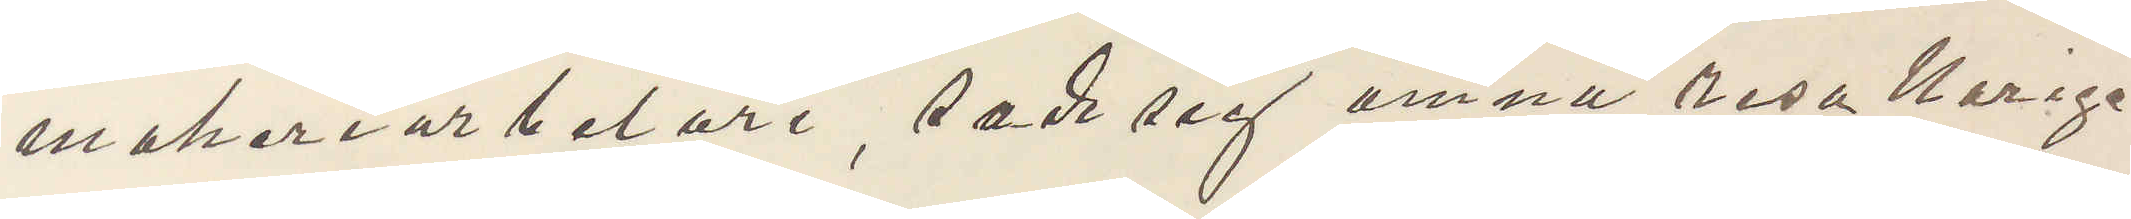makeriarbetare, sade sig ämna resa Norge
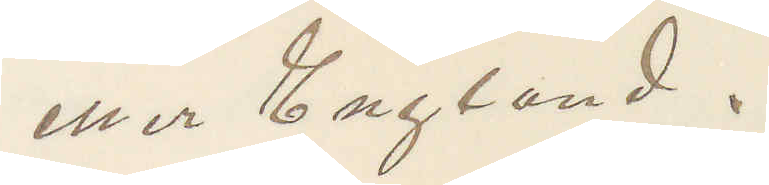eller England.
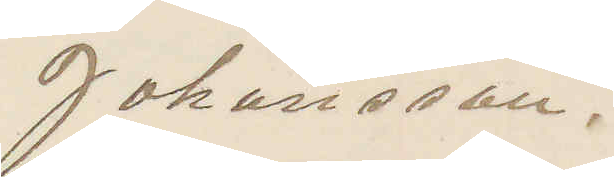Johansson.
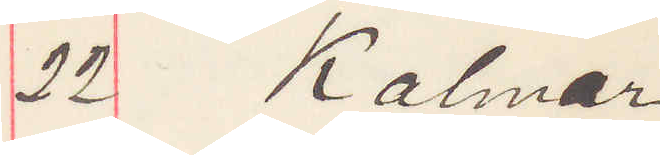22 Kalmar
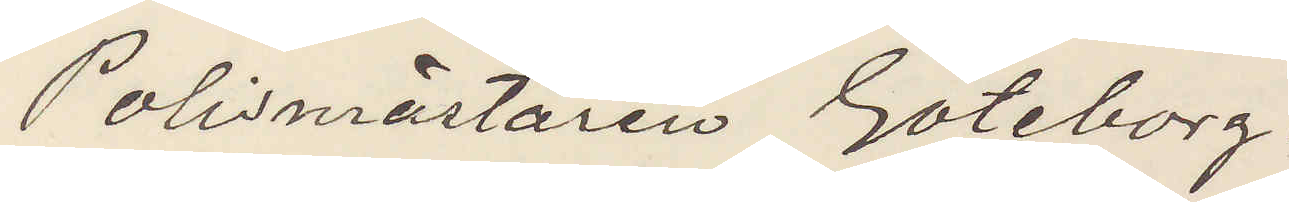Polismästaren Göteborg
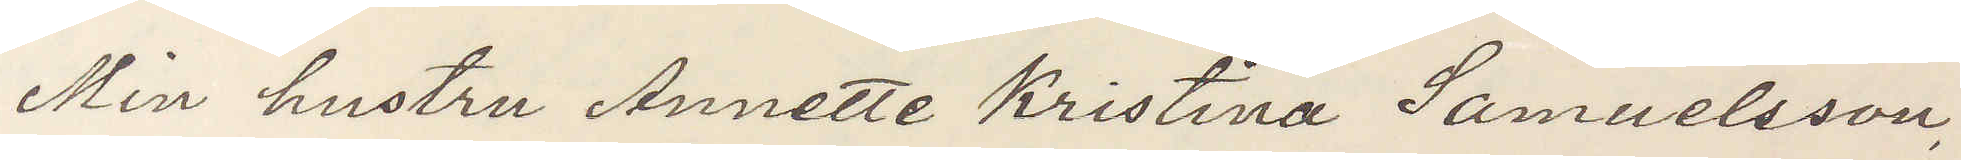Min hustru Annette Kristina Samuelsson,
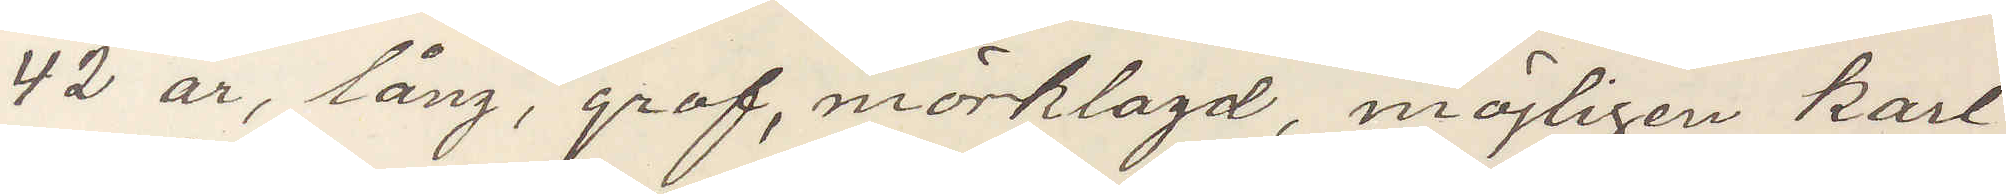42 år, lång, grof, mörklagd, möjligen karl¬
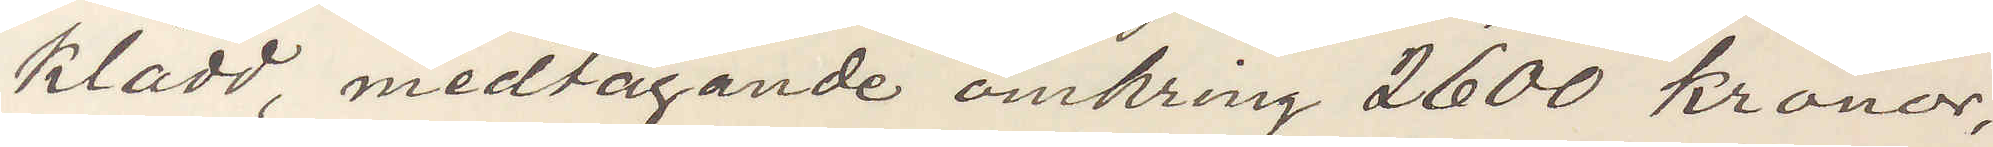klädd, medtagande omkring 2600 kronor,
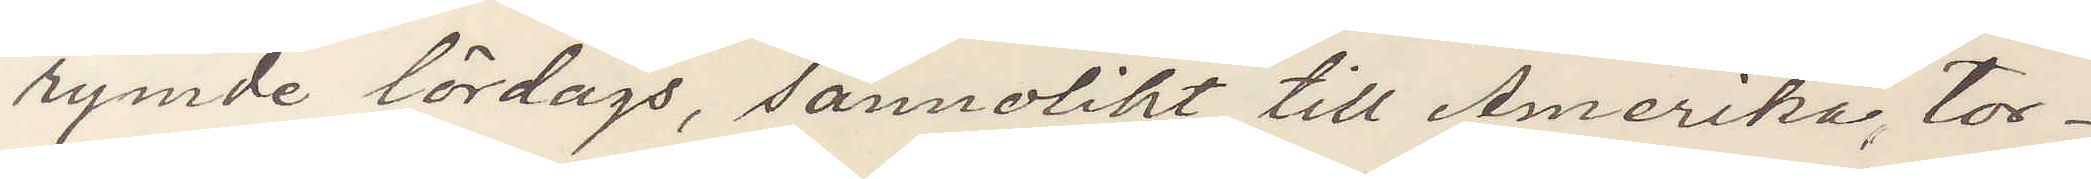rymde lördags, sannolikt till Amerika tor¬
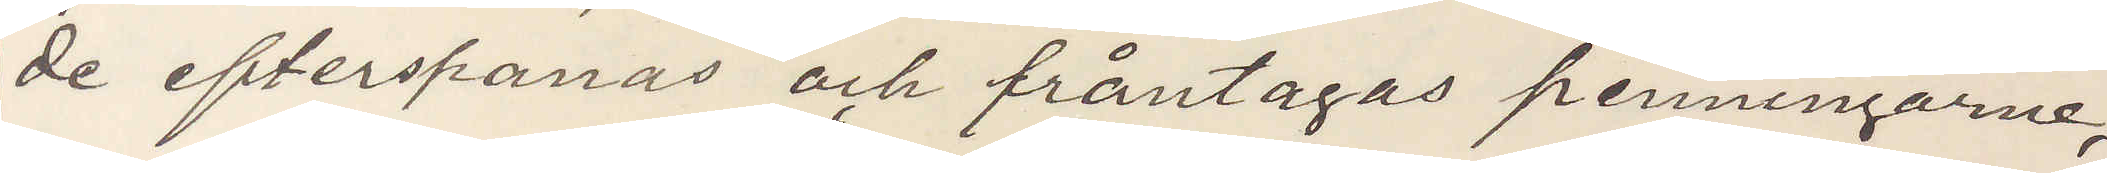de efterspanas och fråntagas penningarne,
